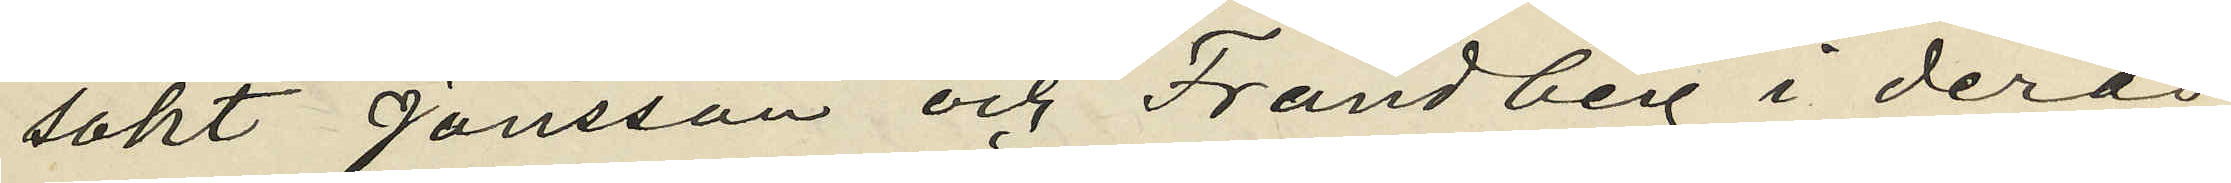sökt Jönsson och Frändberg i deras
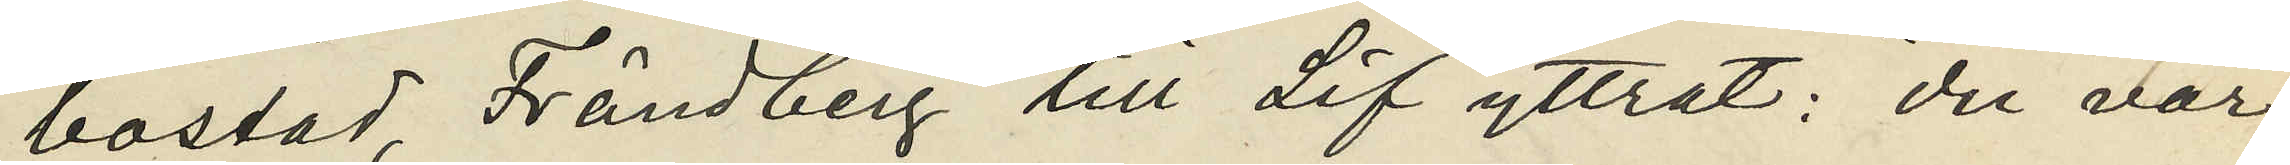bostad, Frändberg till Lif yttrat: "du var
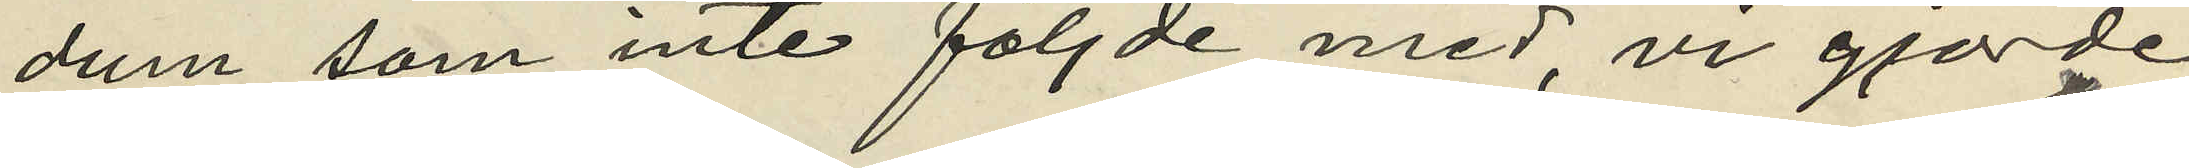dum som inte följde med, vi gjorde
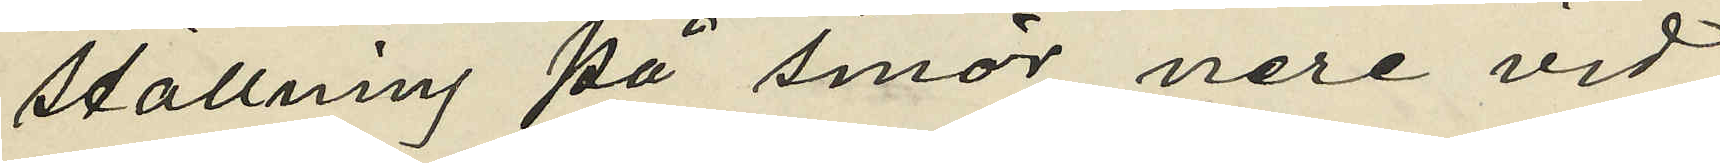ställning på smör nere vid
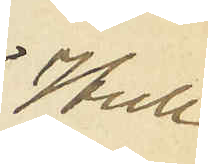Hull
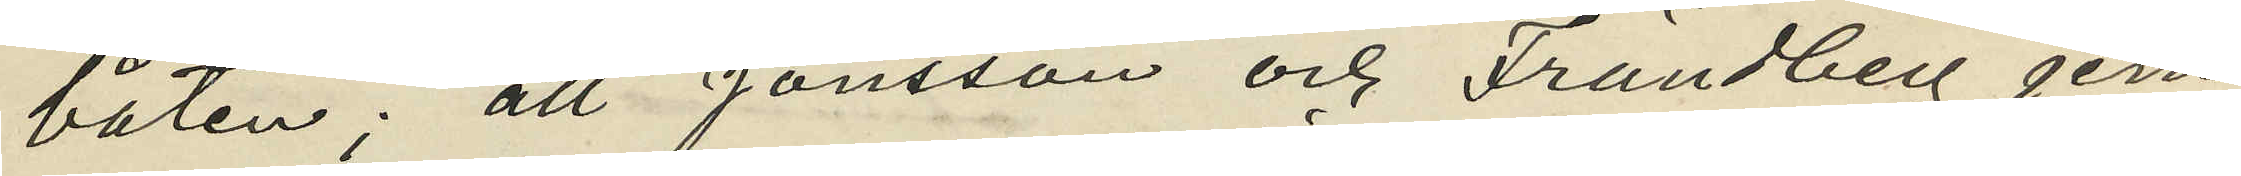båten"; att Jönsson och Frändberg jem¬
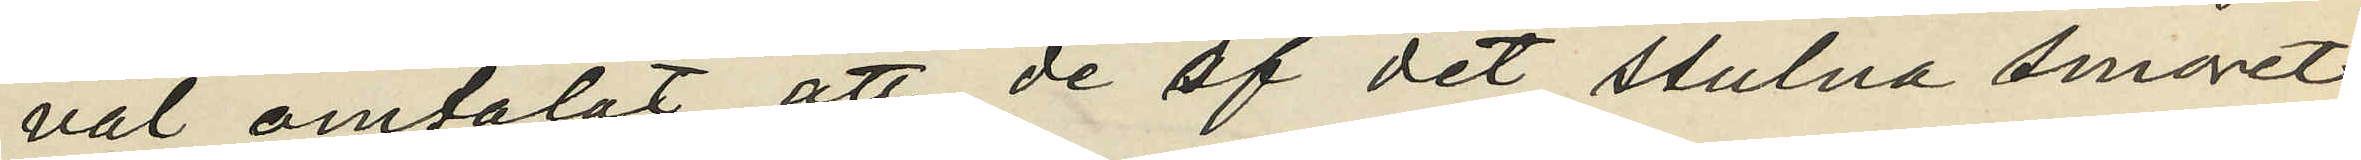väl omtalat att de af det stulna smöret
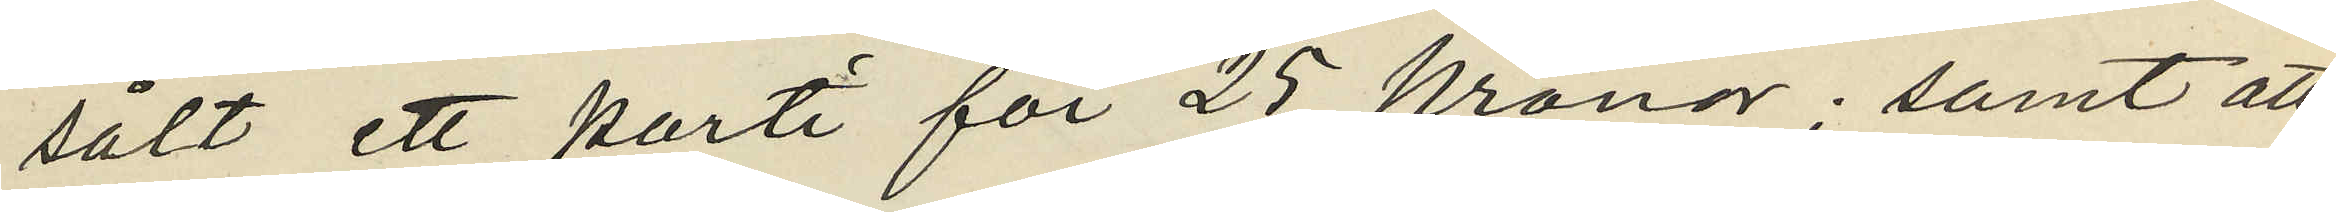sålt ett parti för 25 kronor; samt att
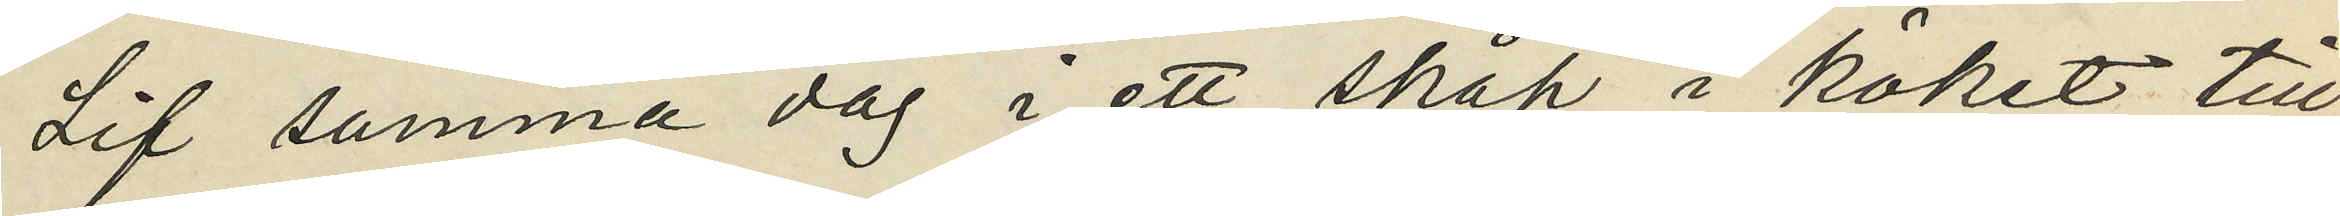Lif samma dag i ett skåp i köket till
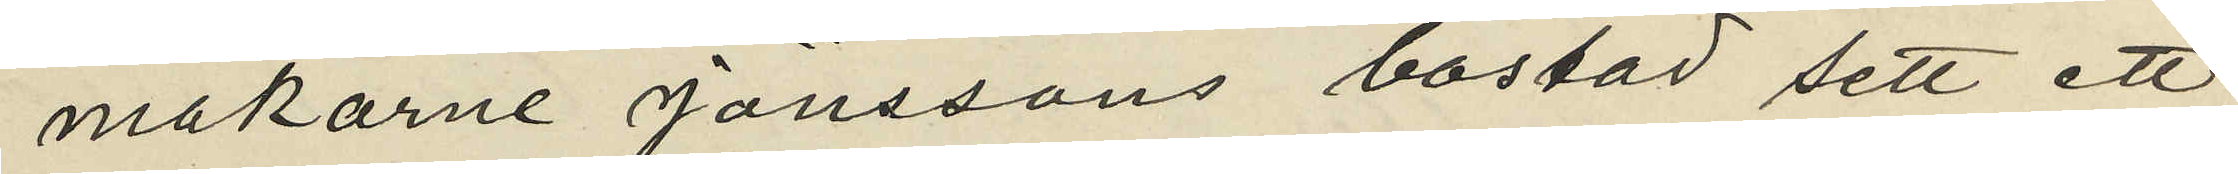makarne Jönssons bostad sett ett
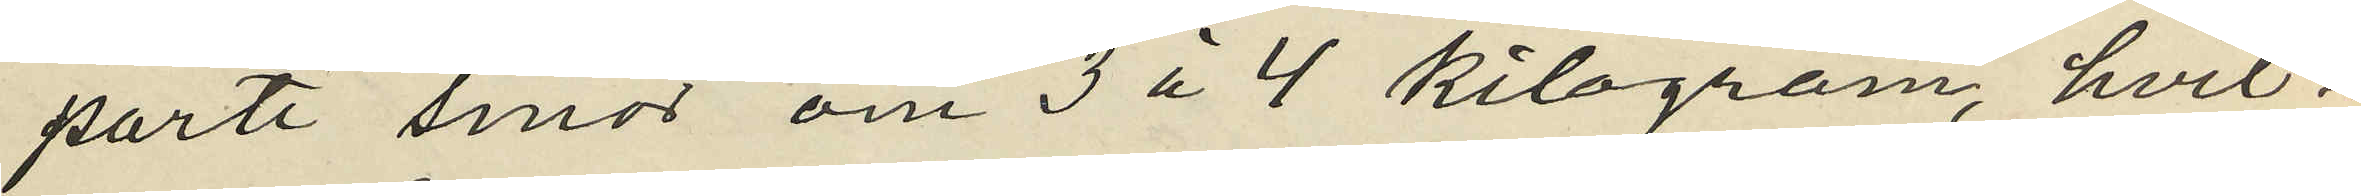parti smör om 3 à 4 kilogram, hvil¬
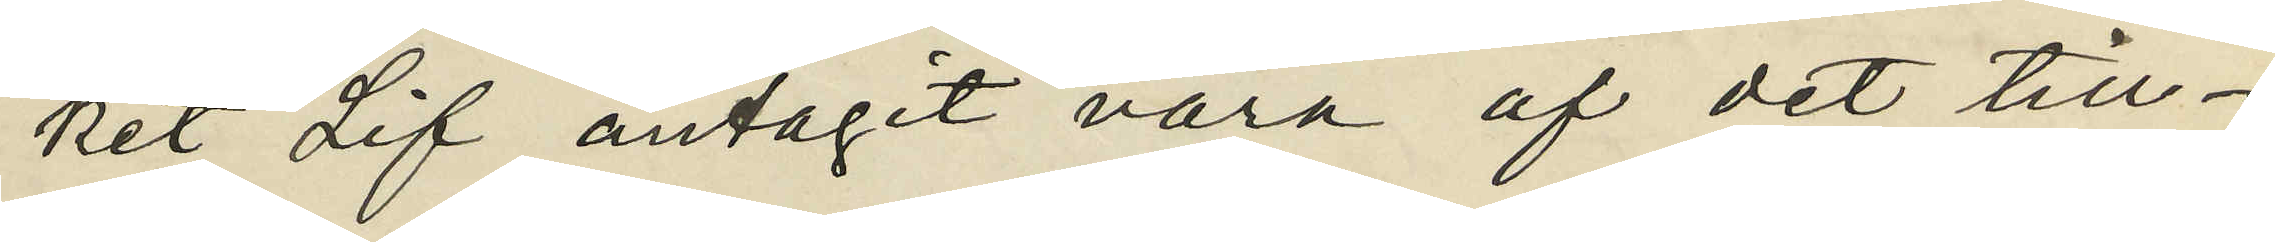ket Lif antagit vara af det till¬
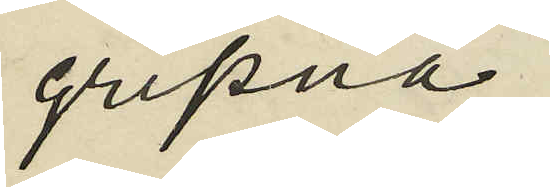gripna;
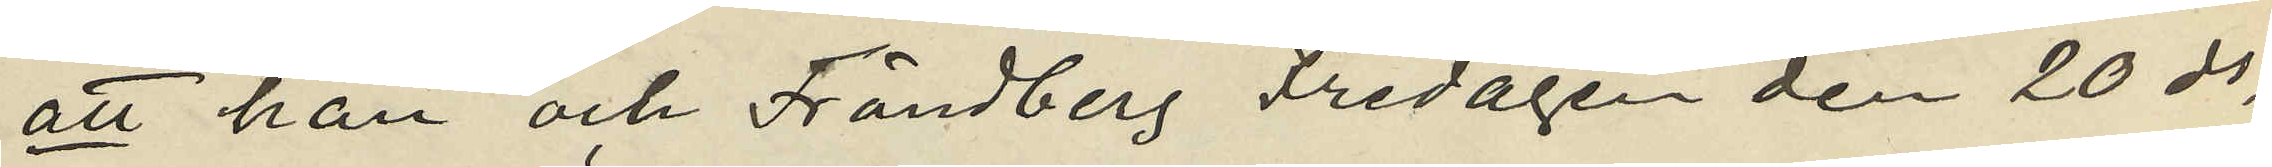att han och Frändberg Fredagen den 20 ds
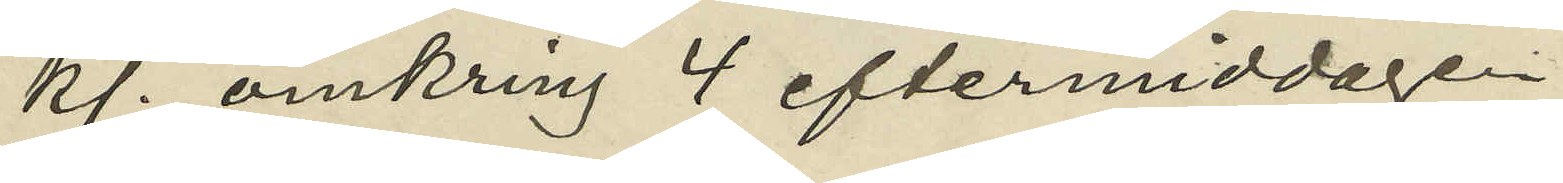kl. omkring 4 eftermiddagen
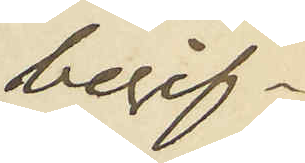begif¬
